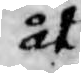åt
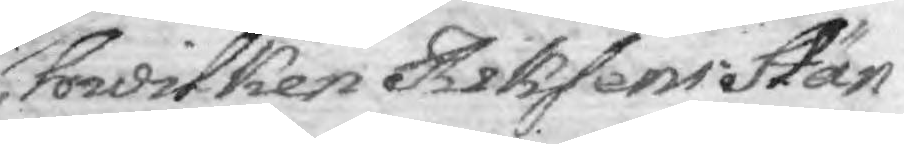hwilken Riksens Stän¬
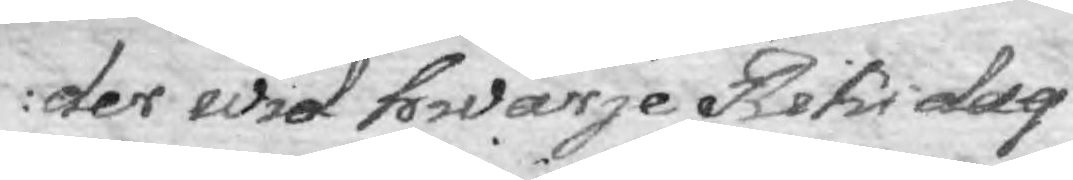der wid hwarje Riksdag
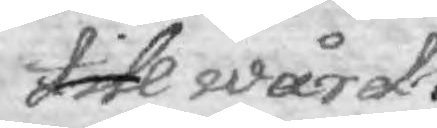till wård
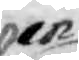in
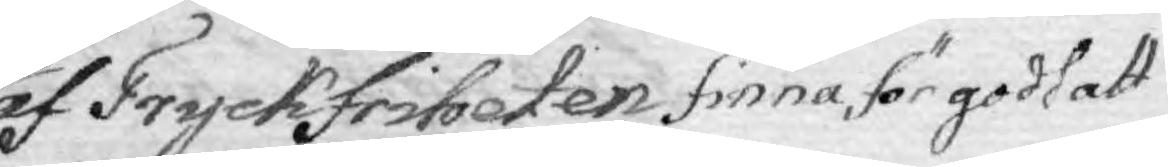af Tryckfriheten finna för godt att
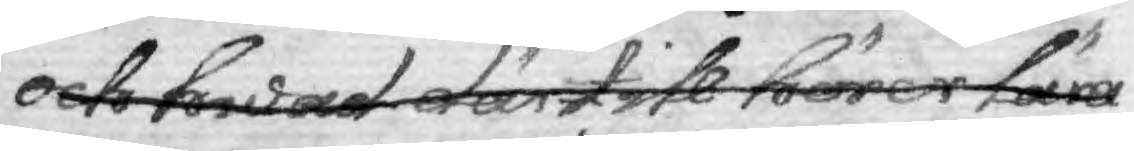och hwad därtill hörer lära
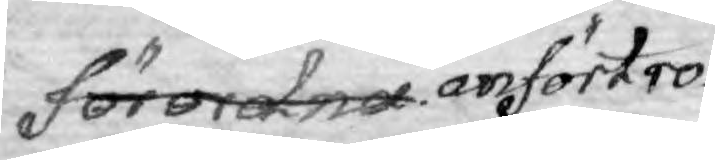förordna. anförtro.
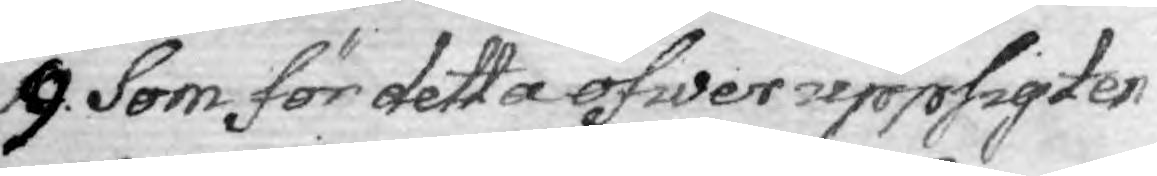9. Som för detta öfwer uppsigten
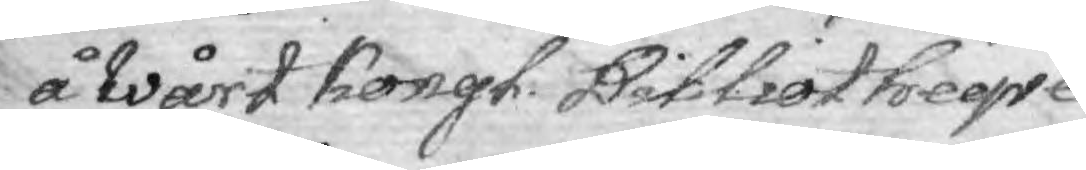å Wårt Kongl. Bibliotheqve
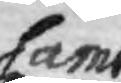samt
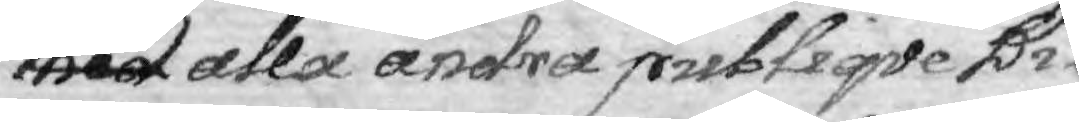med alla andra publiqve Bi¬
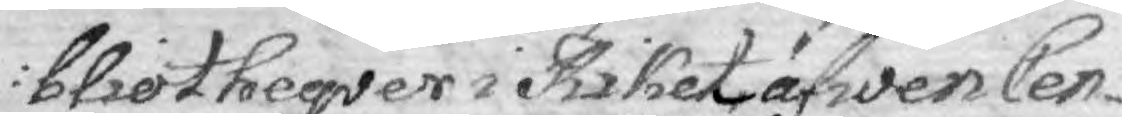bliotheqver i Riket äfwen Cen¬
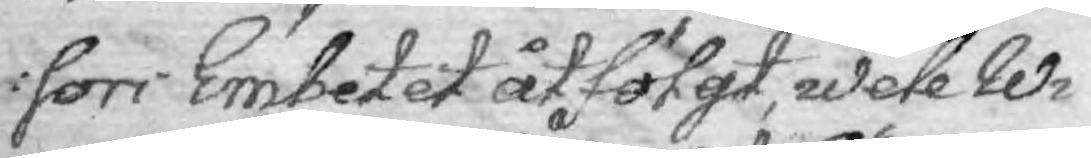sori Embetet åtfölgt, wele Wi
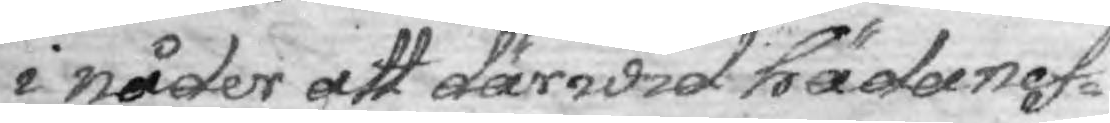i nåder att därwid hädanef¬
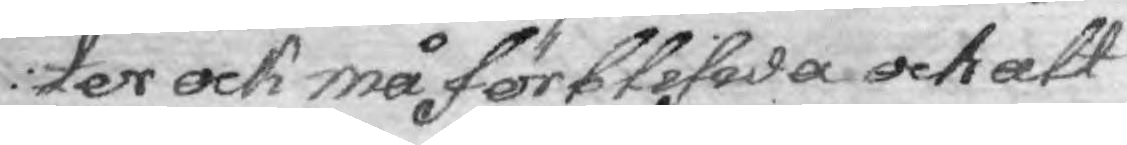ter ock må förblifwa och att
